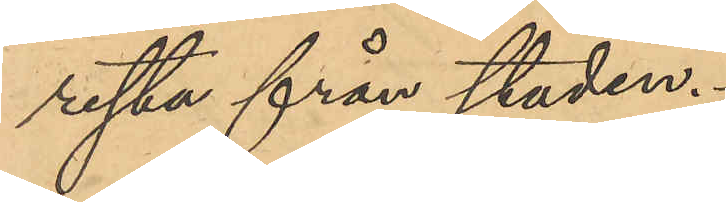resta från staden.
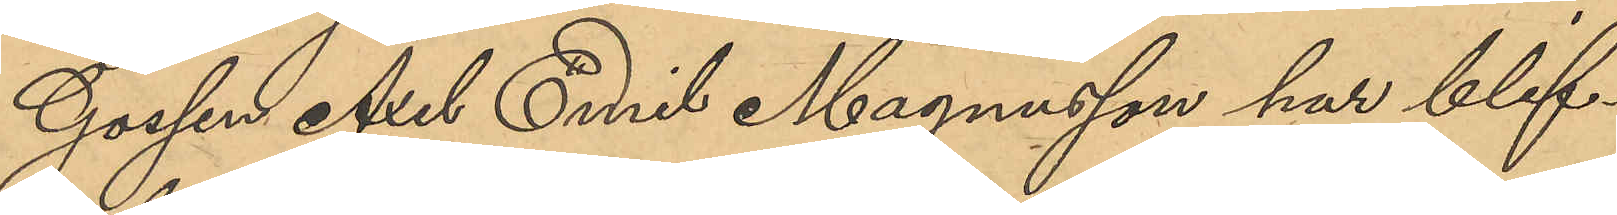Gossen Axel Emil Magnusson har blif¬
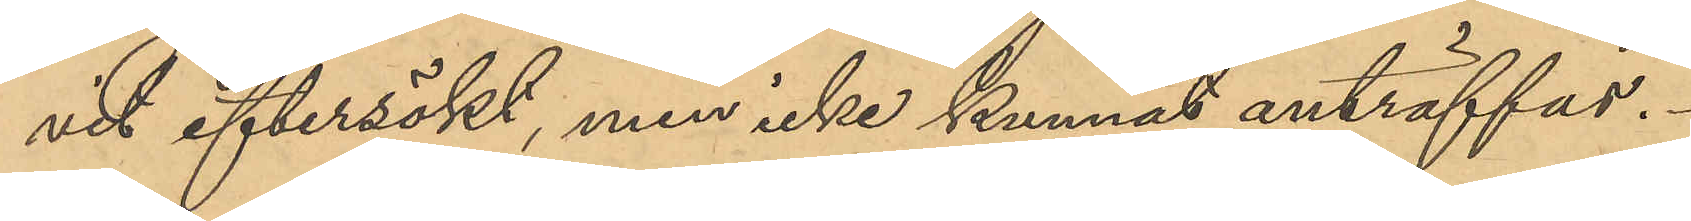vit eftersökt, men icke kunnat anträffas.
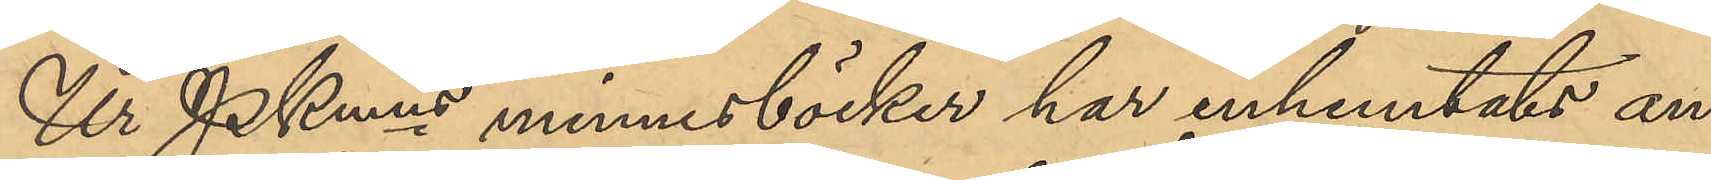Ur PKmns minnesböcker har inhemtats an¬
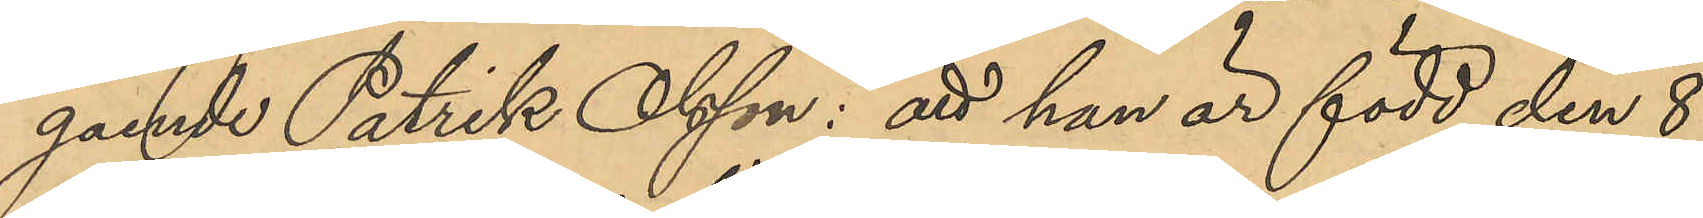gaende Patrik Olsson: att han är född den 8
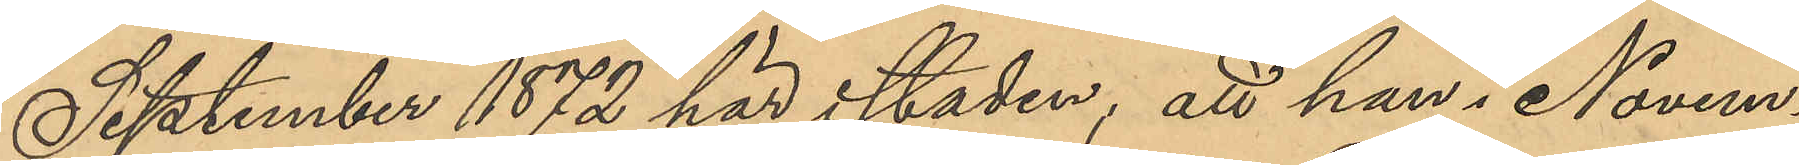September 1872 här i staden; att han i Novem¬
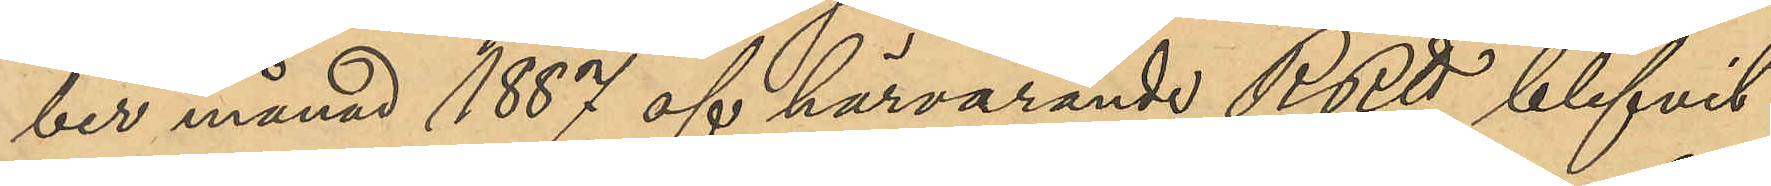ber månad 1887 af härvarande RRtt blifvit
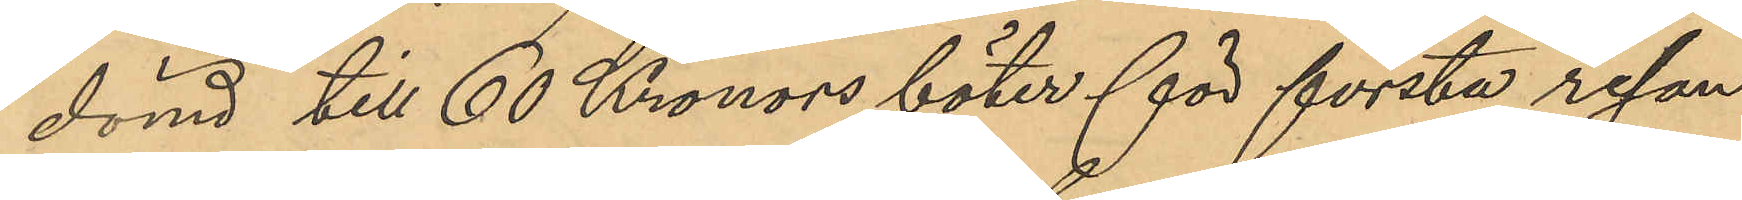dömd till 60 Kronors böter för första resan
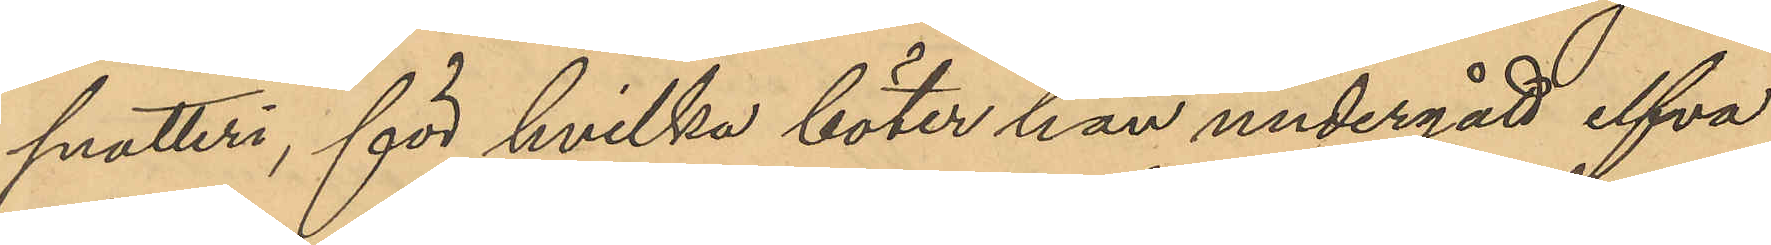snatteri, för hvilka böter han undergått elfva
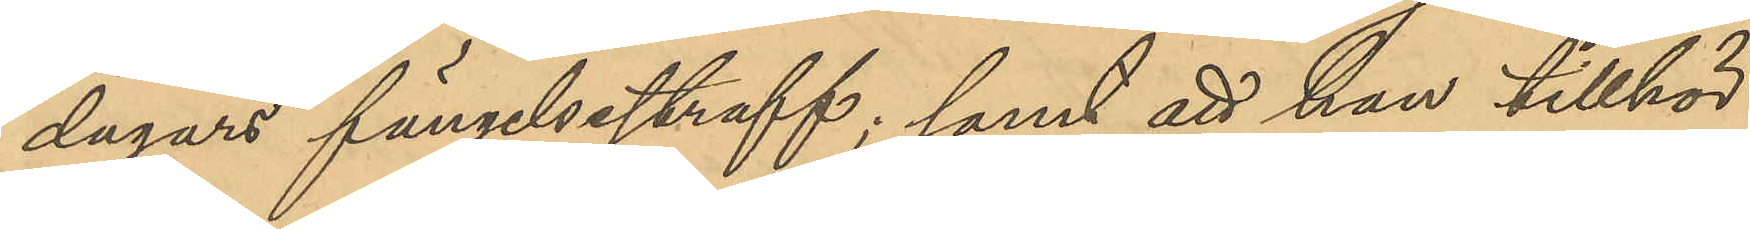dagars fängelsestraff; samt att han tillhör
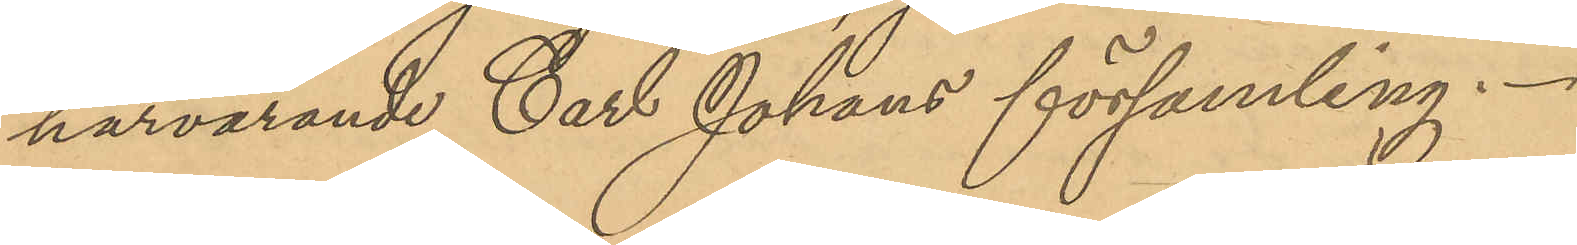härvarande Carl Johans församling.
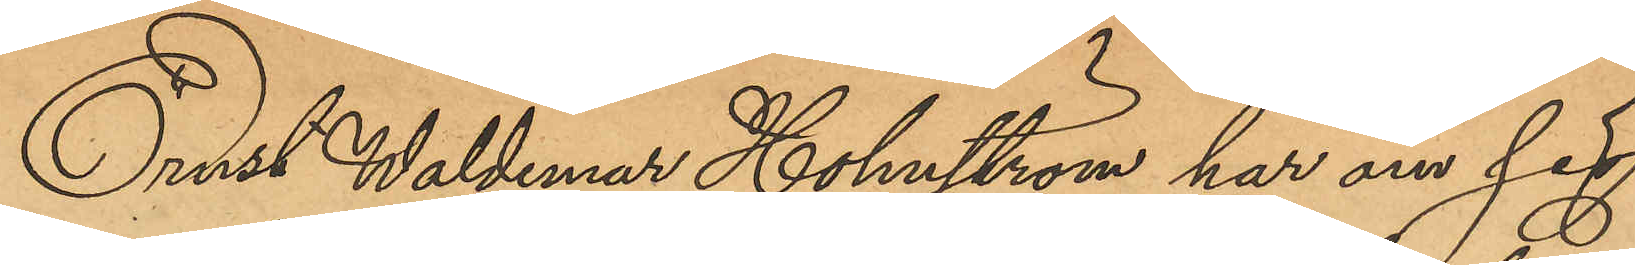Ernst Waldemar Holmström har om sig
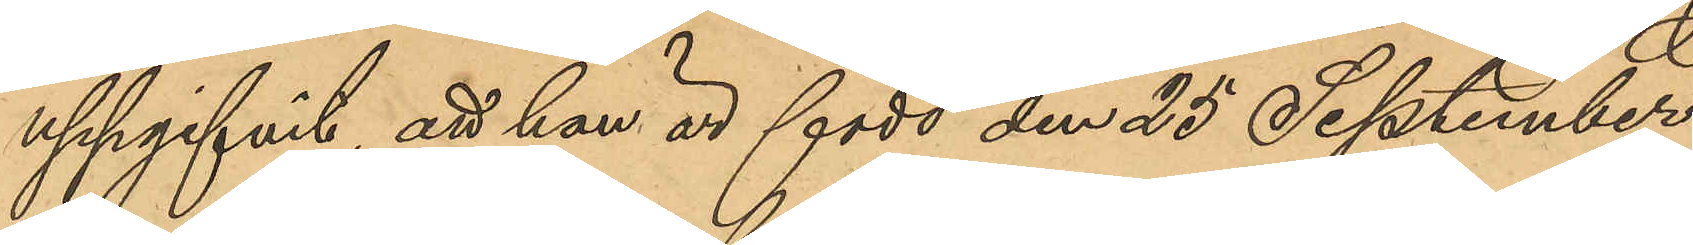uppgifvit, att han är född den 25 September
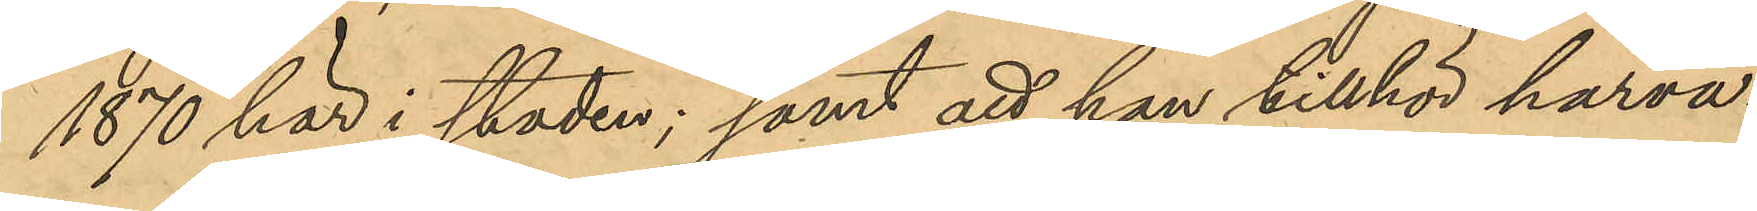1870 här i staden; samt att han tillhör härva¬
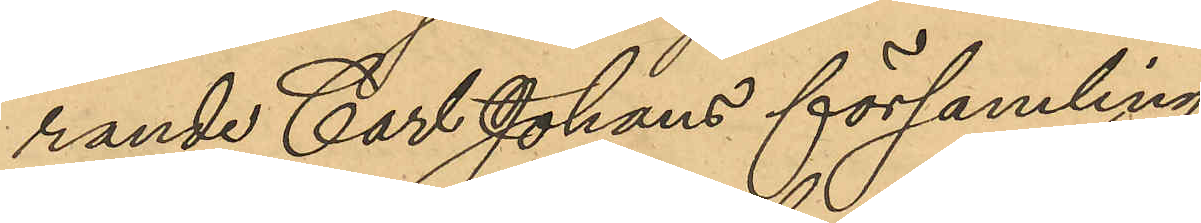rande Carl Johans församling.
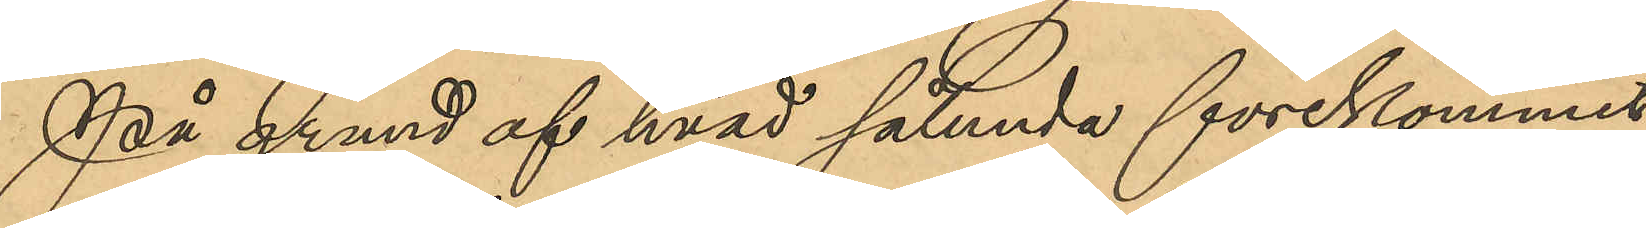På grund af hvad sålunda förekommit
